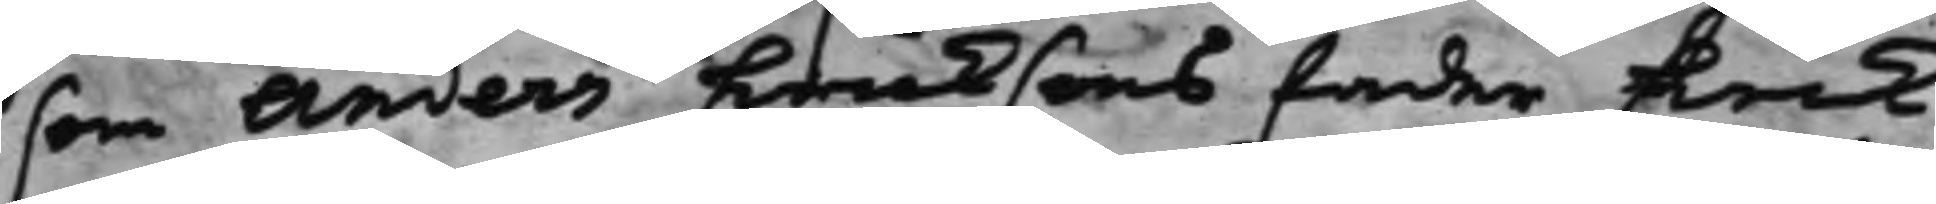som Anders Ericksons fader Erik
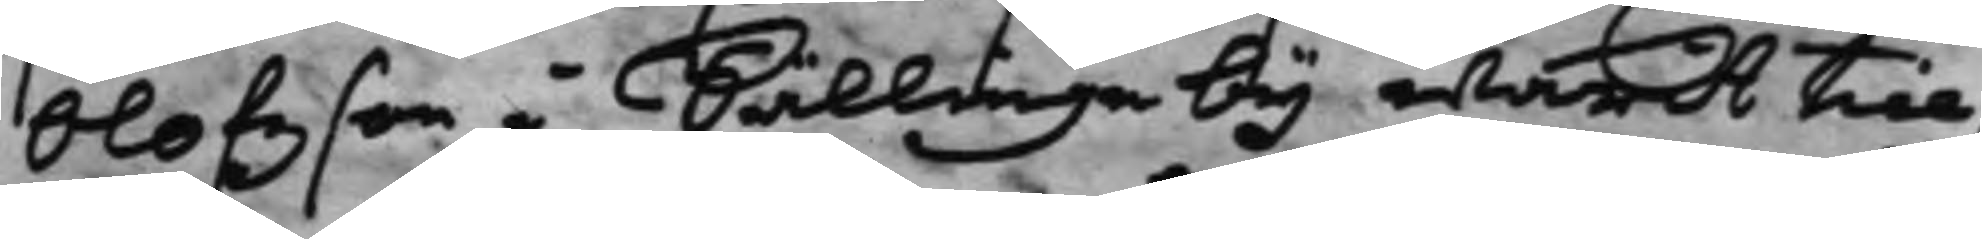Olofzson i Sällinge by warit till¬
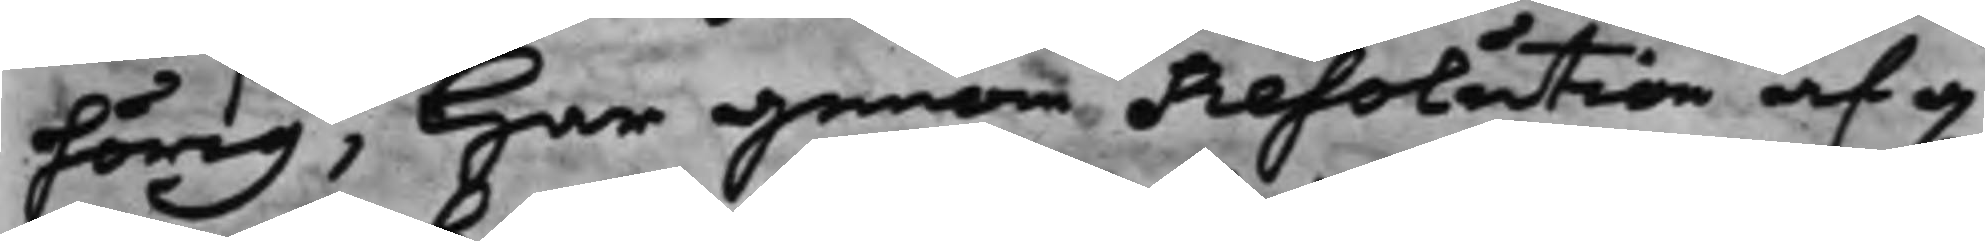hörig, har genom Resolution af d.
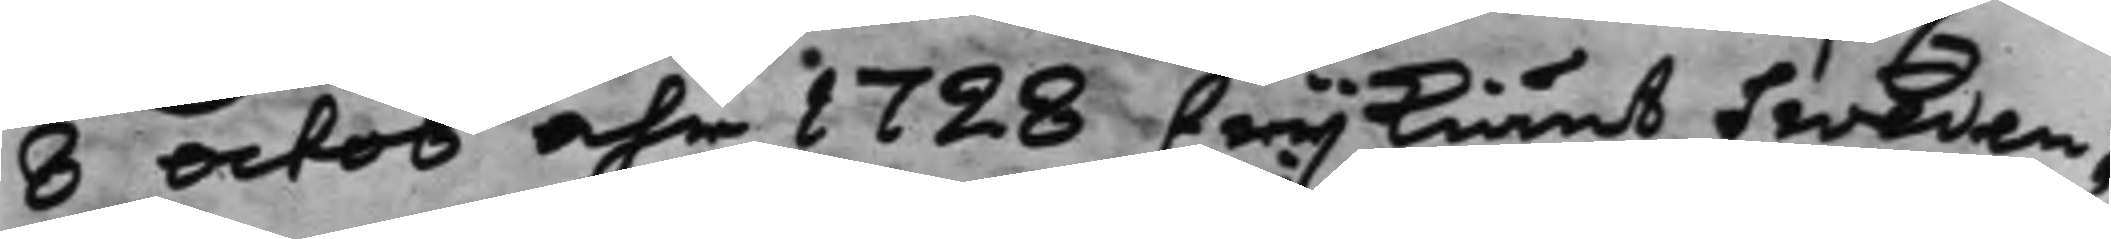8 Octob Åhr 1728 frijkiänt Sweden¬
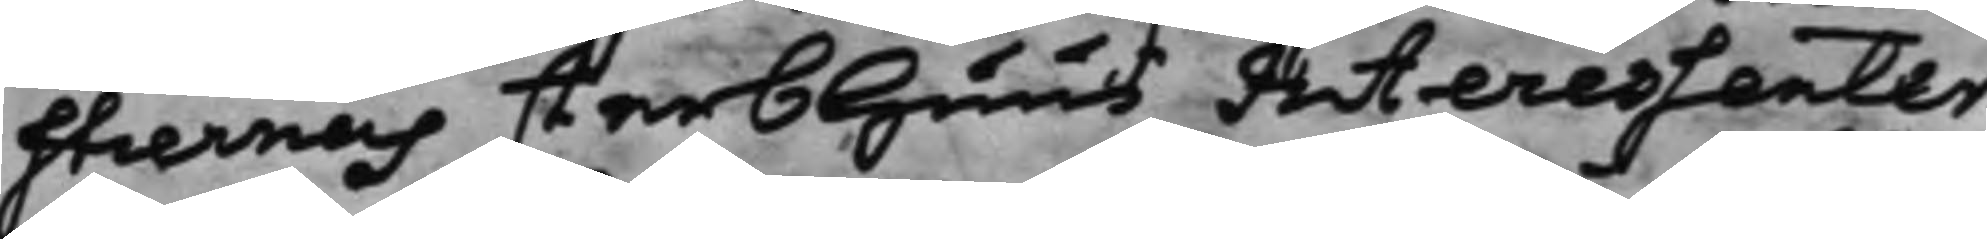stiernas sterbhuus Interessenter
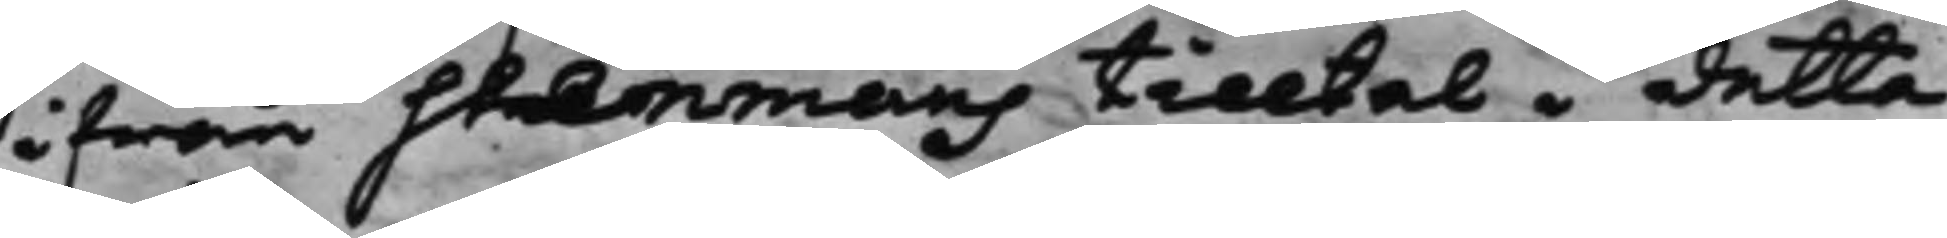ifrån Stenmans tilltal i detta
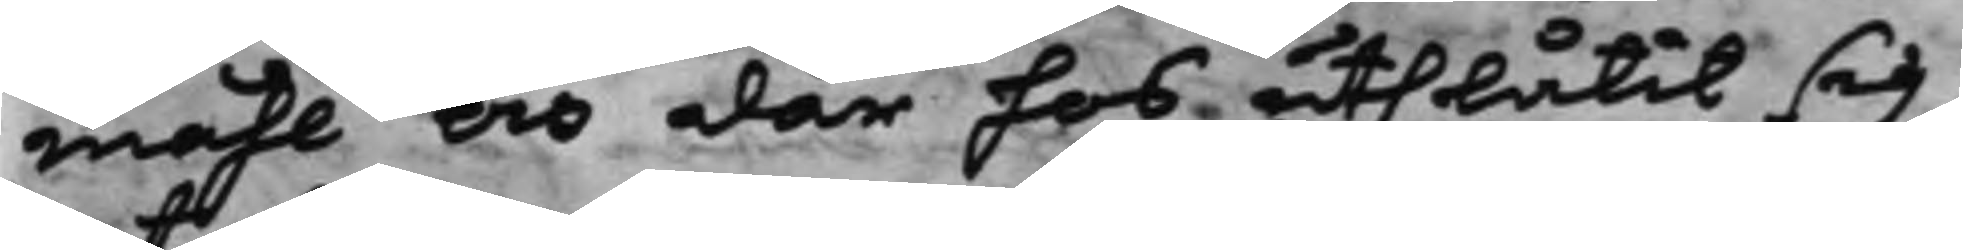måhl och där hos uthlåtit sig,
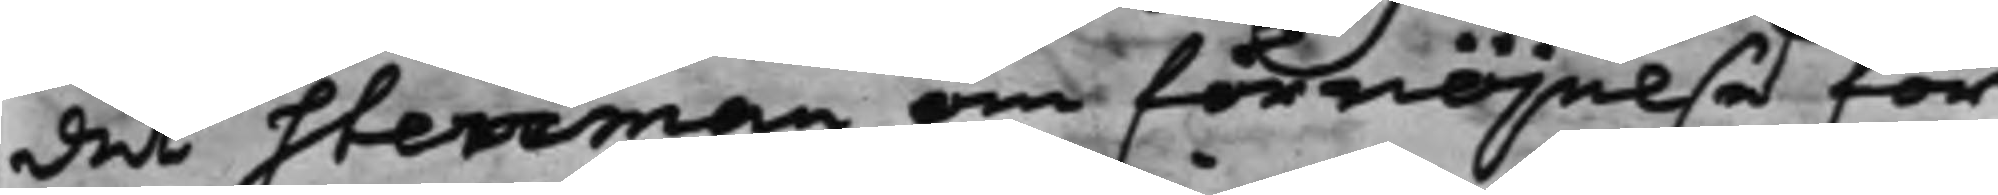det Sterman om förnöjelse för
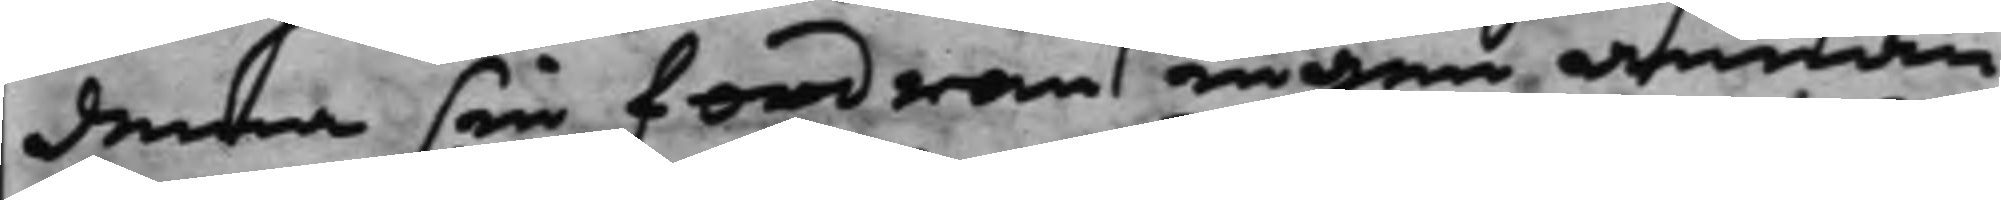denna sin fordran ingen annan
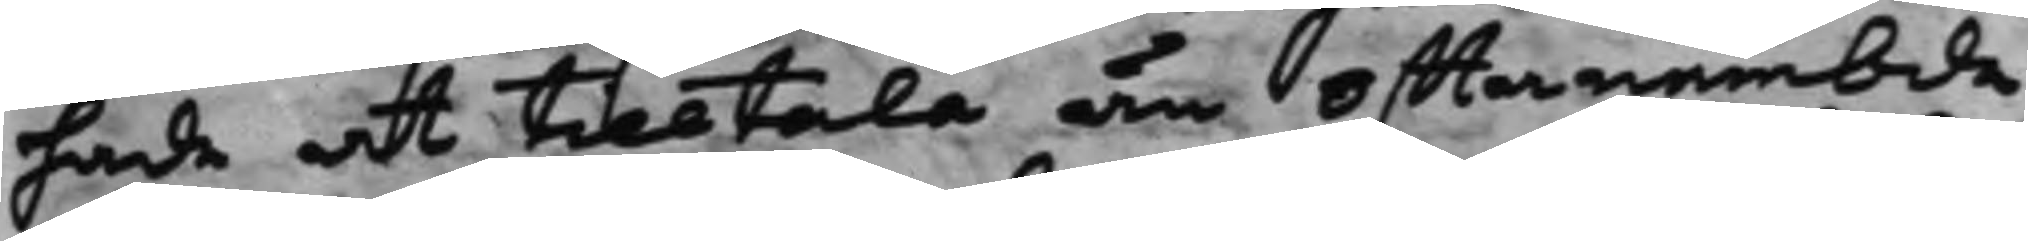hade at tilltala än offtanämbde
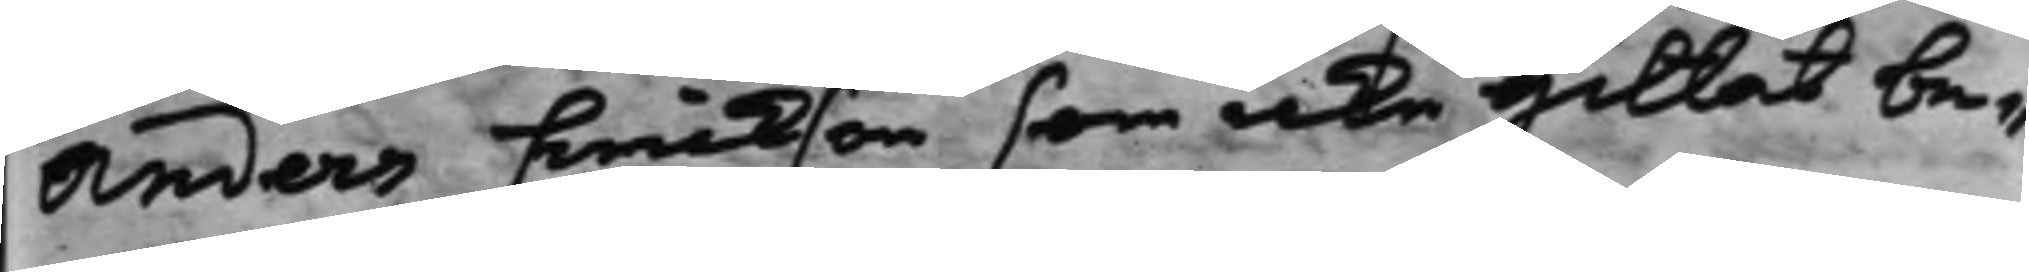Anders Erickson som icke gillat be¬
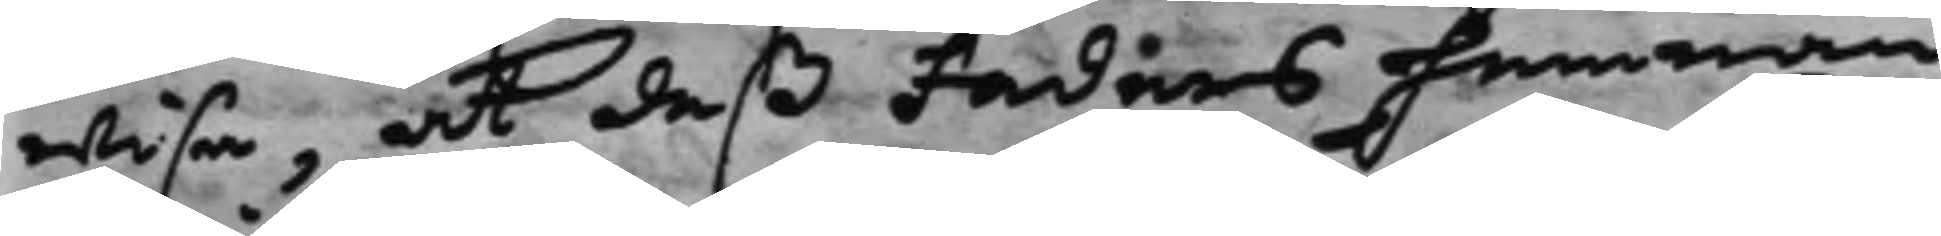wisa, at deß Faders hemman
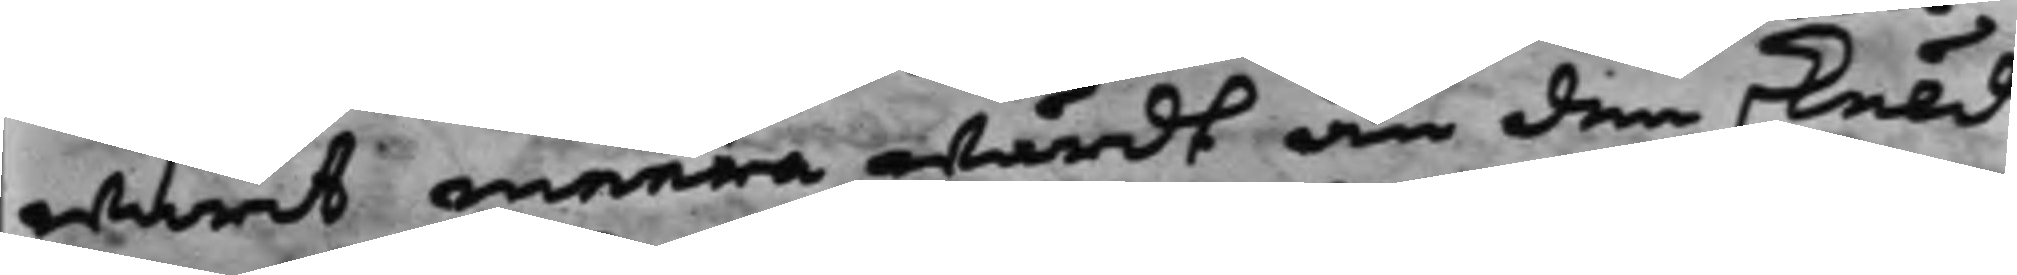warit meera wärdt än den skuld
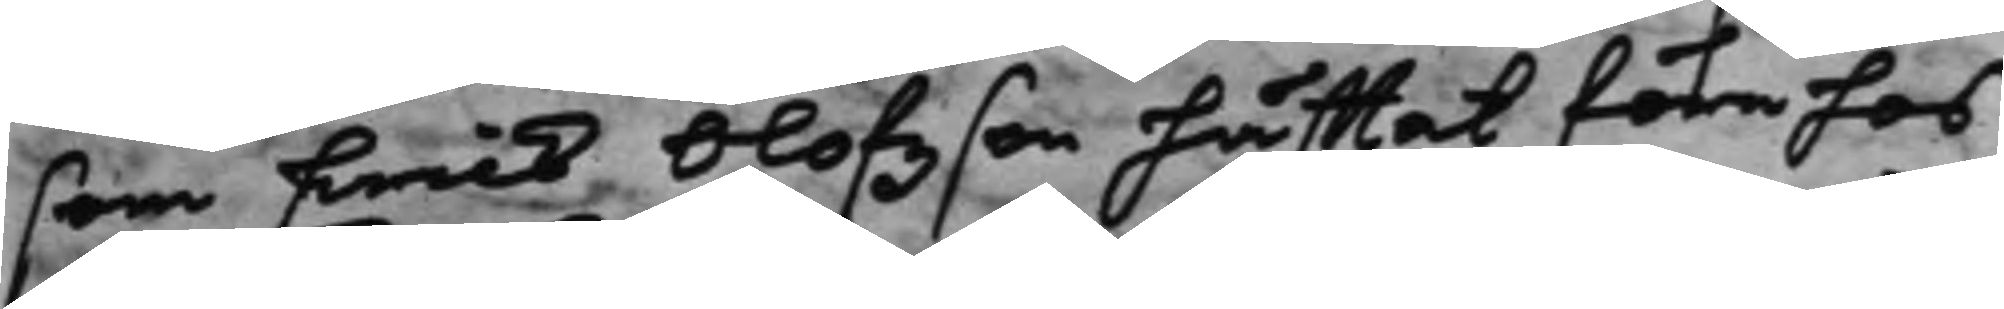som Erick Olofzson häfftat före hos
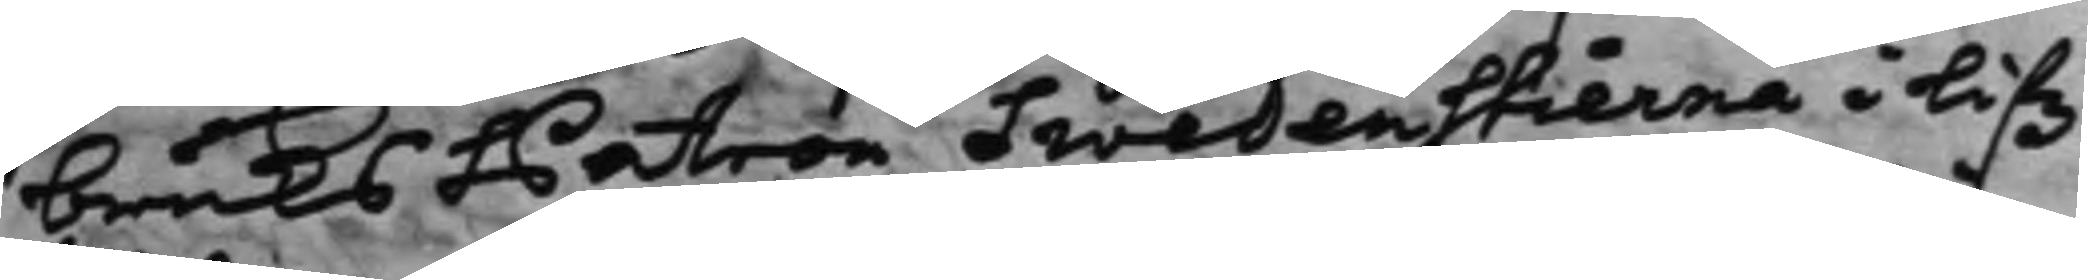bruks Patron Swedenstierna i lifz¬
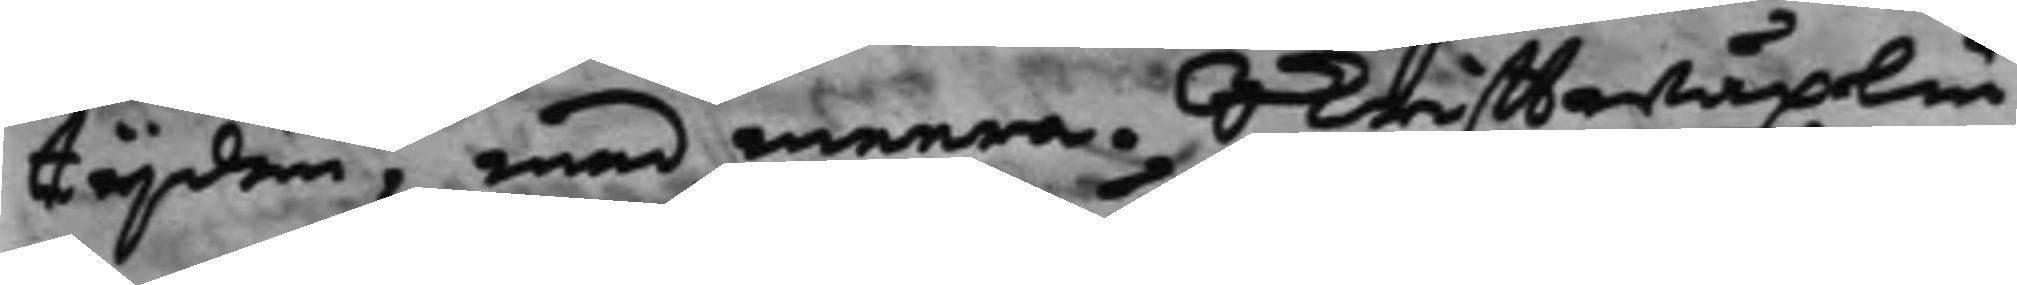tijden, med meera, Skrifftwäxlin¬
